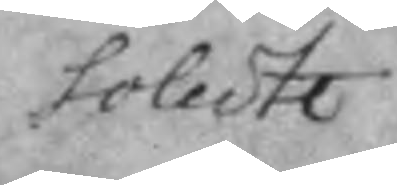solute
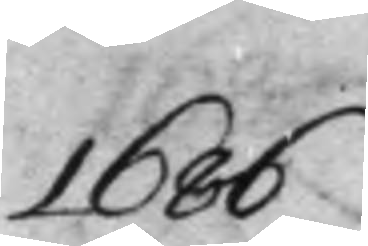1686
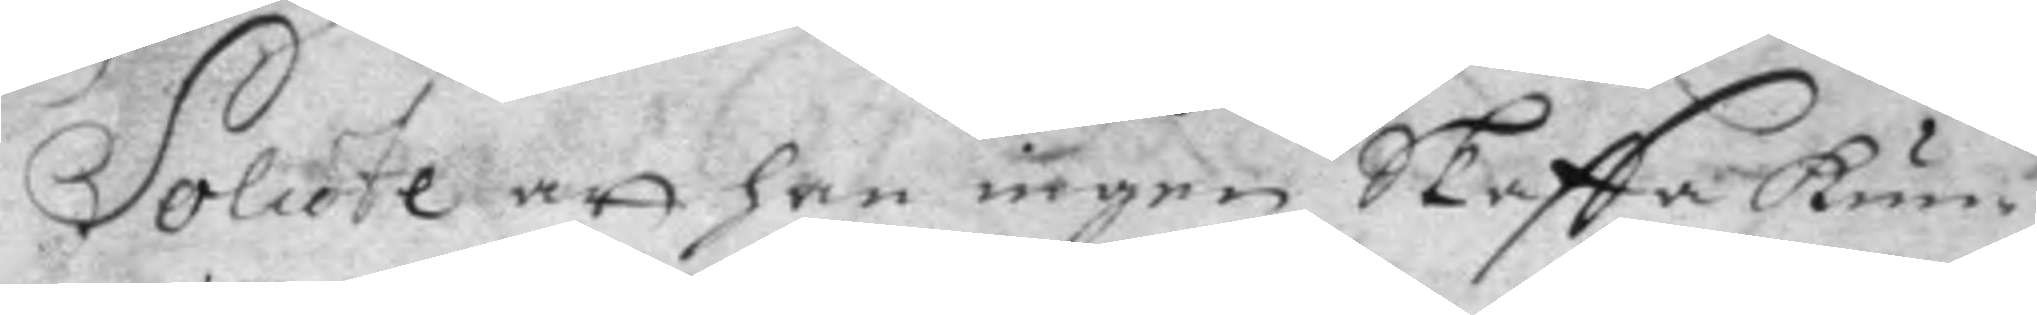Solute att han ingen Skaffa kun¬
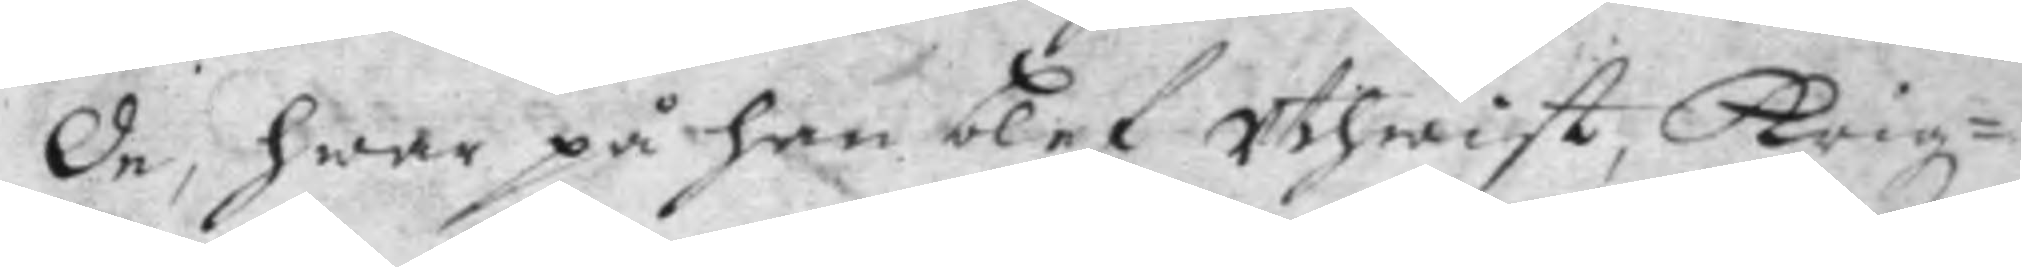de, hwar på han blef uthwist, Krigz¬
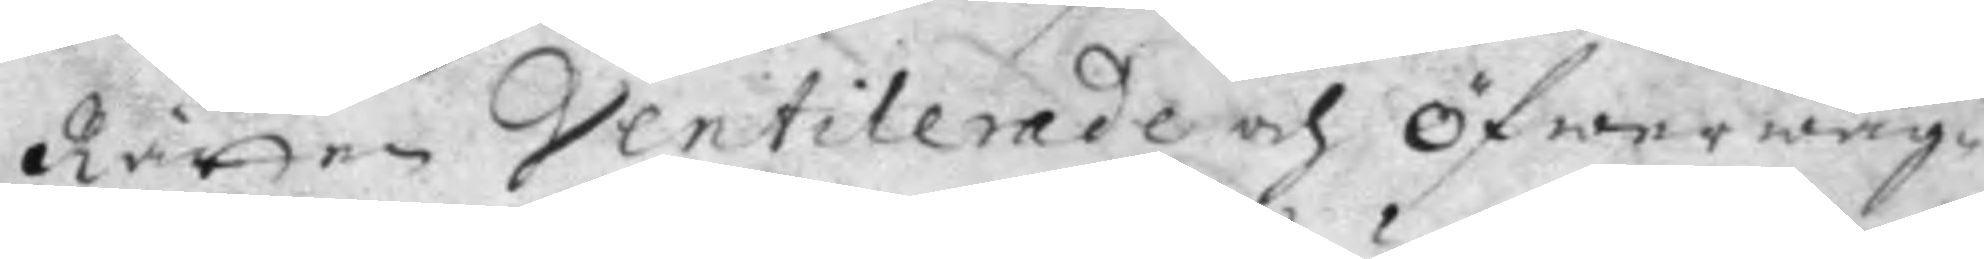Rätten Ventilerade och Öfwerwäg¬
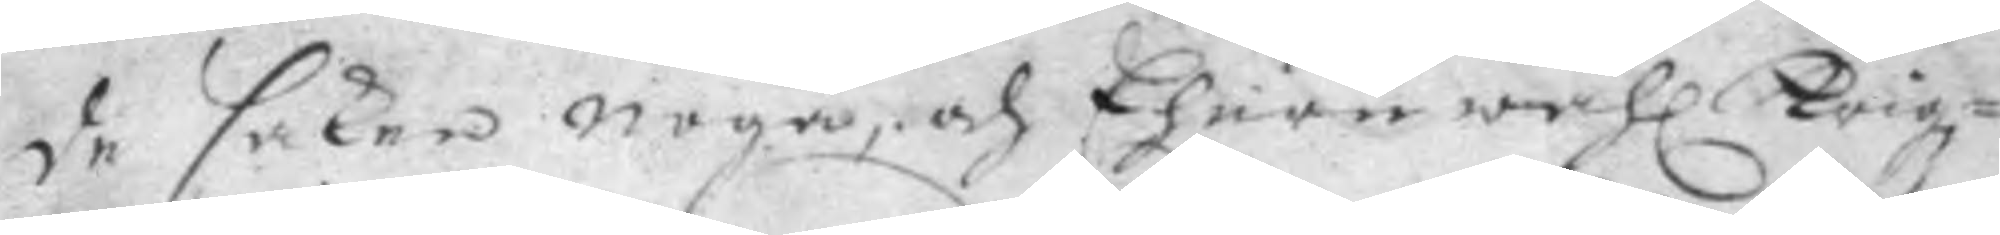de saken noga, och Ehuru wähl Krigz¬
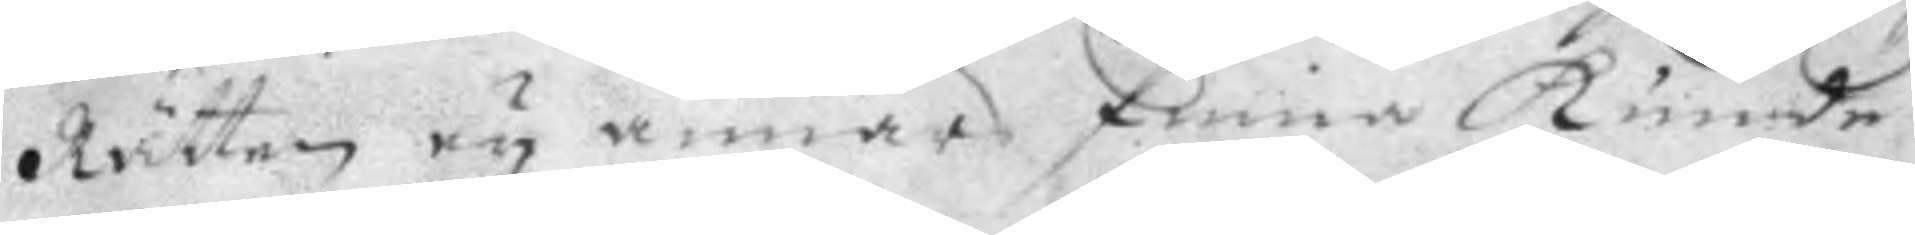Rätten ey annars finna kunde
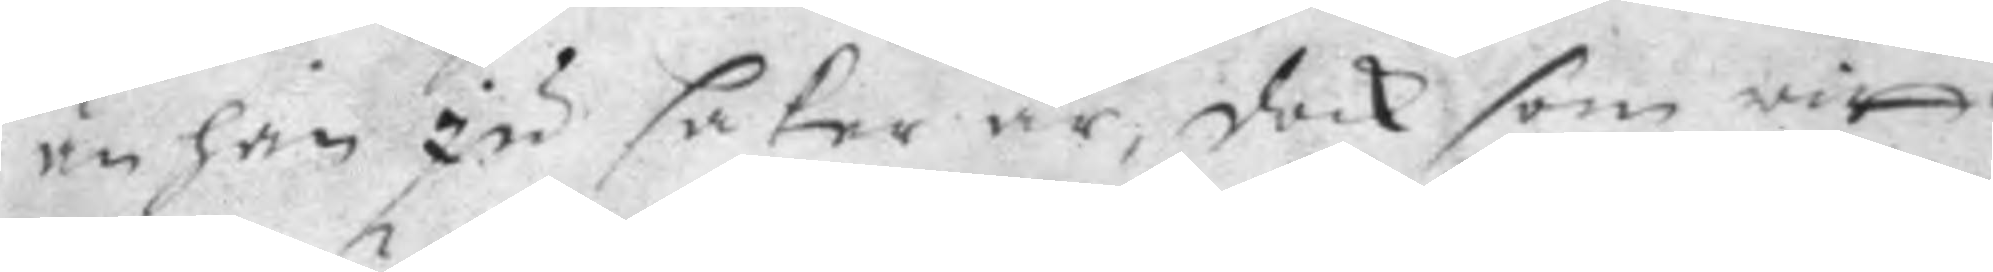än han ju saker är, dock som witt¬
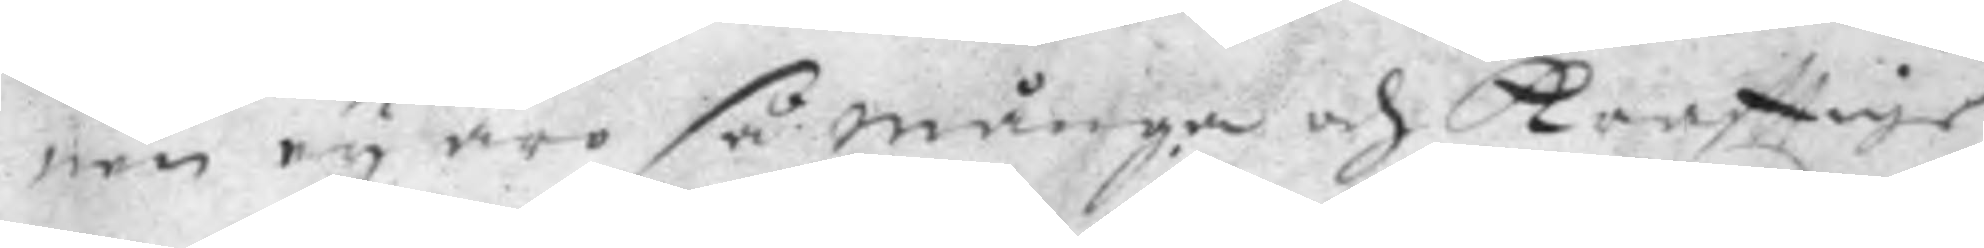nen ey äro så många och kraftige
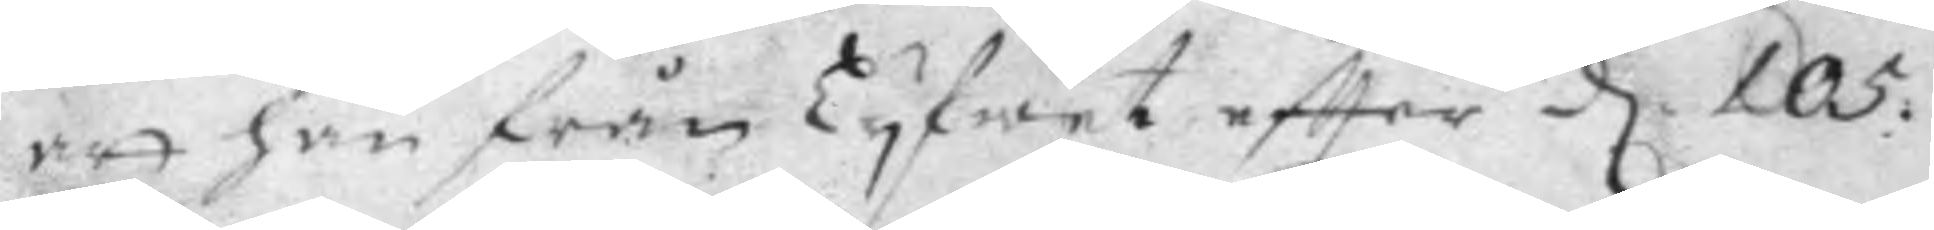att han från Lyfwet eftter d 105: 
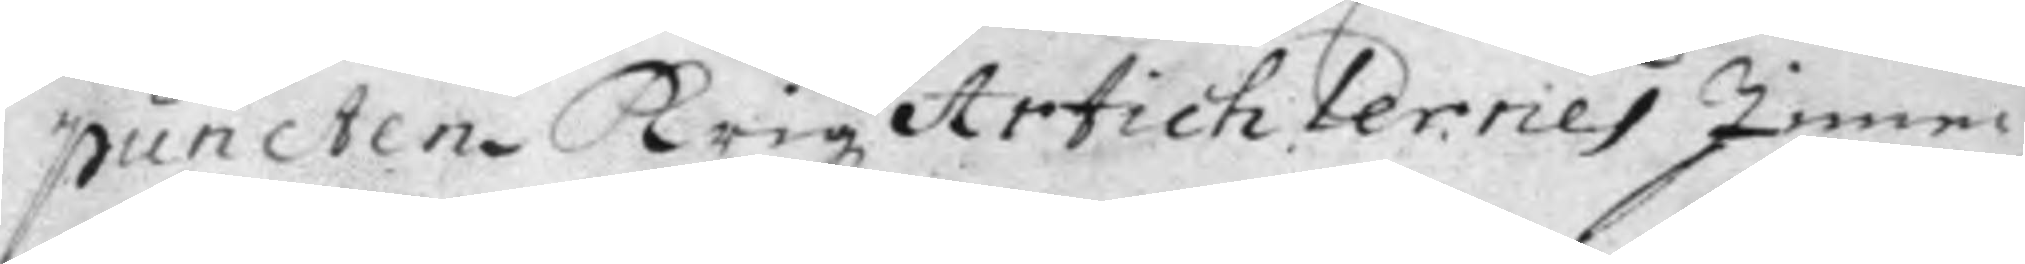puncten Krigz Artichlernes Inne¬
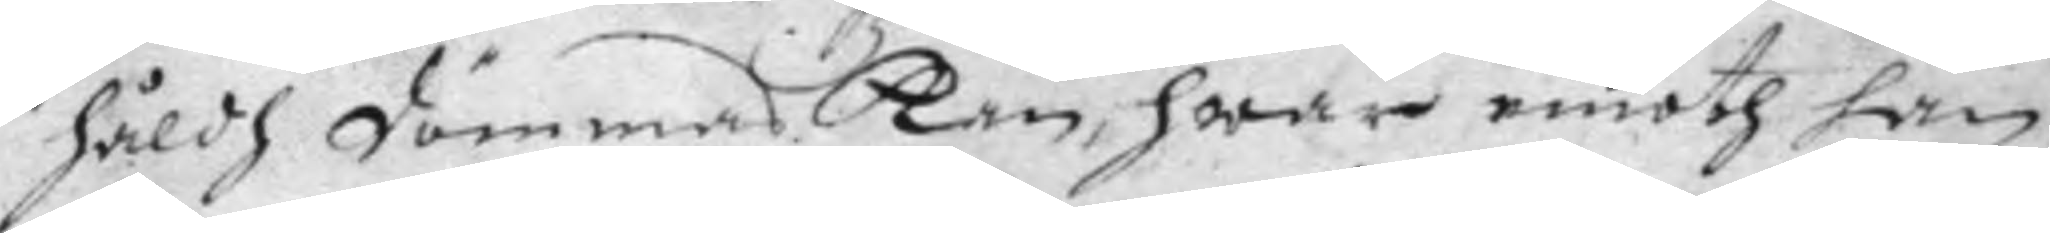håldh dömmas Kan, hwar emoth han
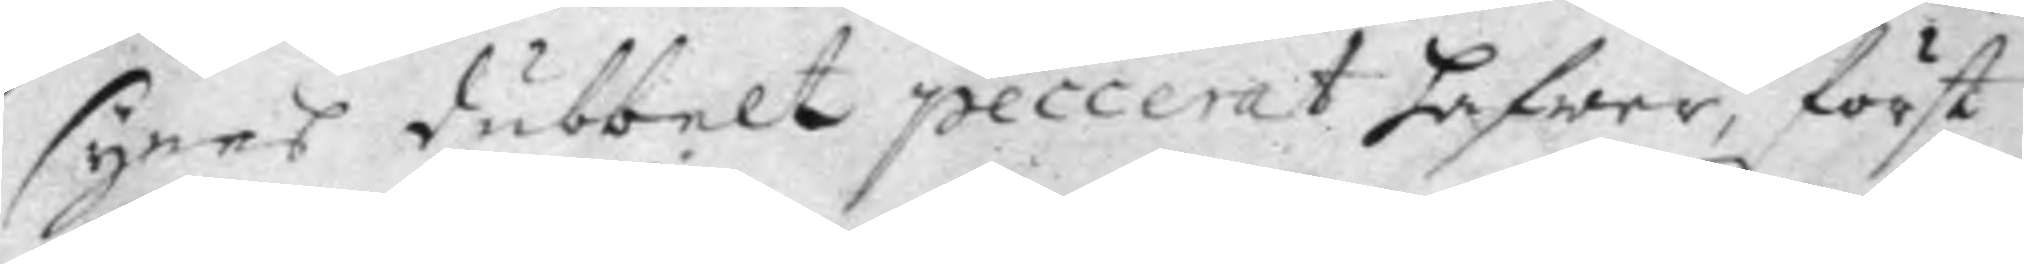synes dubbelt peccerat hafwer, först
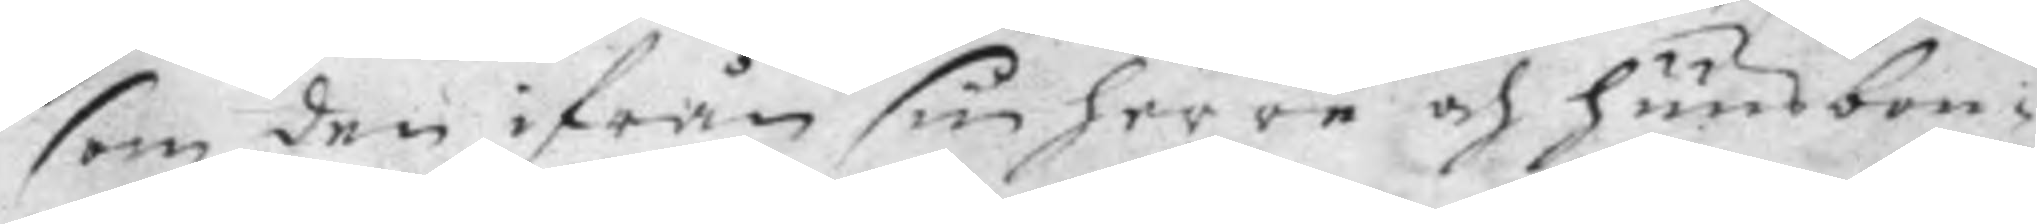som den ifrån sin herre och huusbon¬
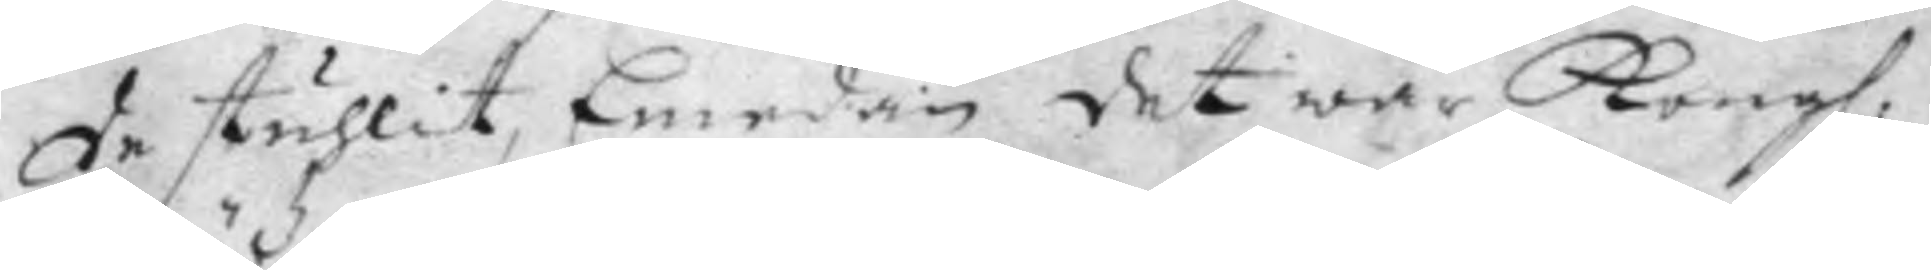de stuhlit, Emedan det war Kong. 
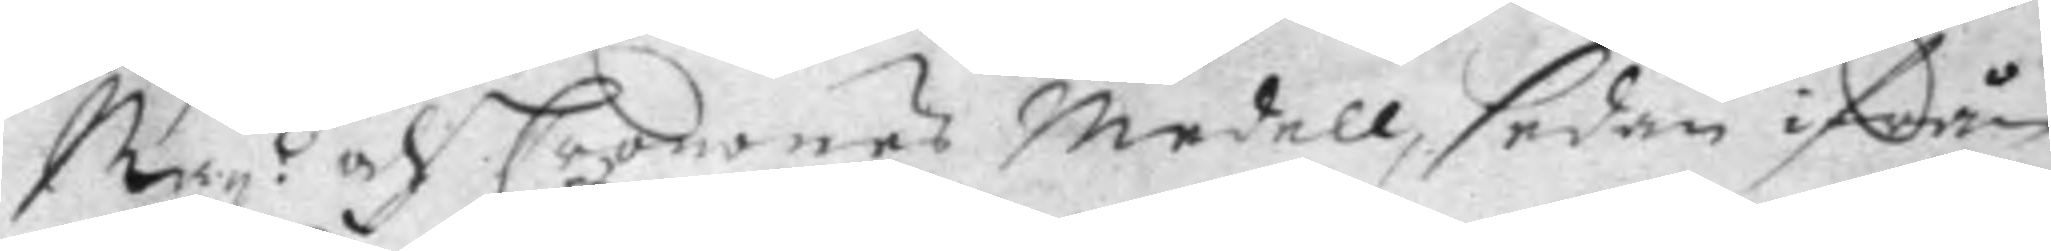May:tz och Cronones Medell, sedan ifrån
